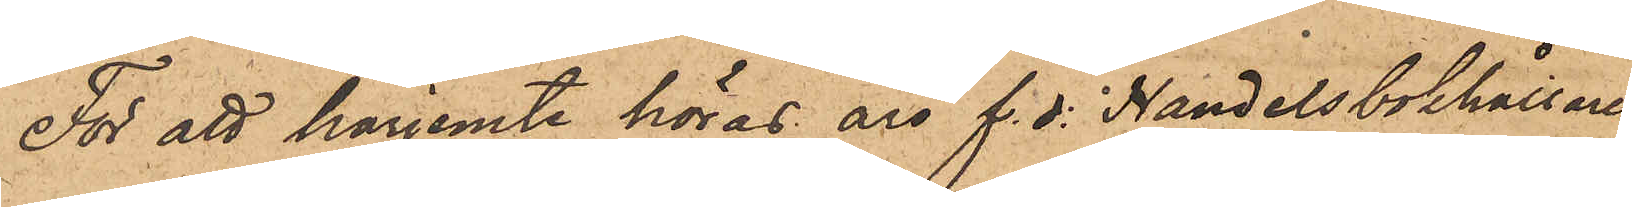För att harjemte höras äro f. d. Handelsbokhållaren
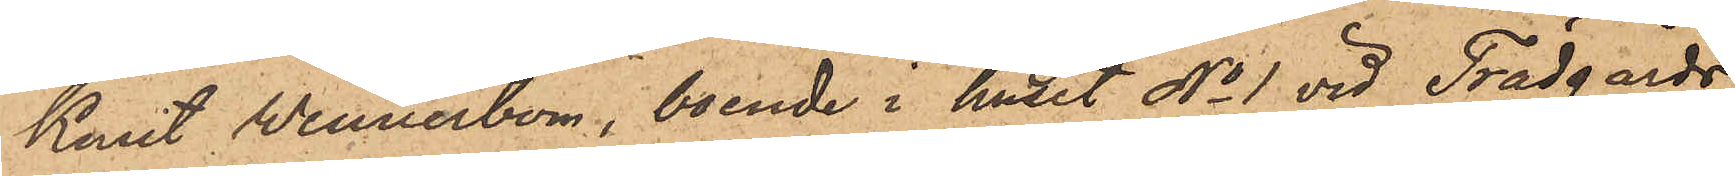Knut Wennerbom, boende i huset No 1 vid Trädgårds¬
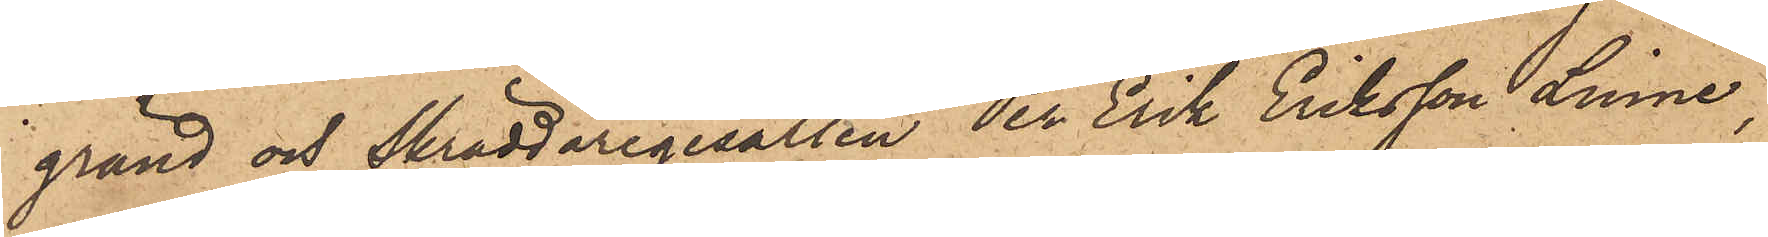gränd och Skräddaregesällen Per Erik Eriksson Linné,
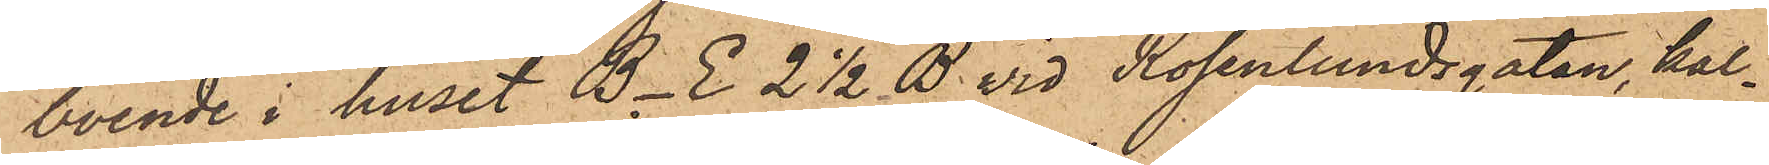boende i huset B. E. 2 1/2 B. vid Rosenlundsgatan, kal¬
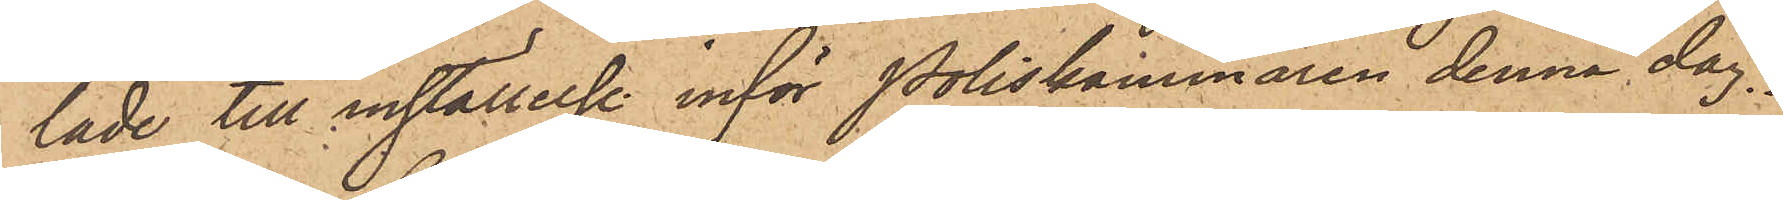lade till inställelse inför Poliskammaren denna dag.
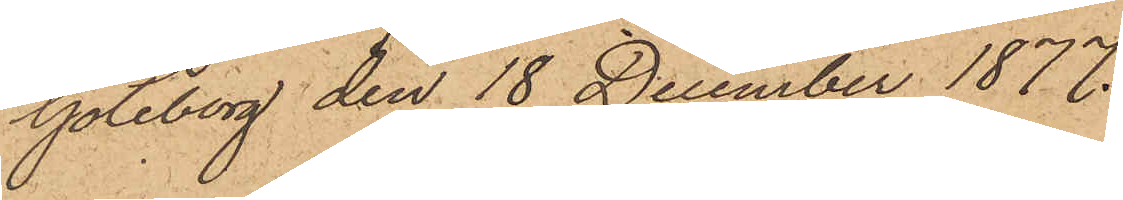Göteborg den 18 December 1877.
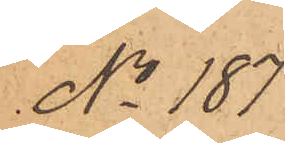No 187
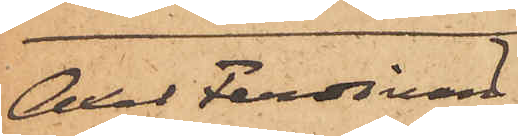Axel Ferdinand
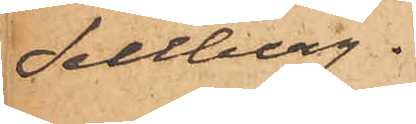Sellberg.
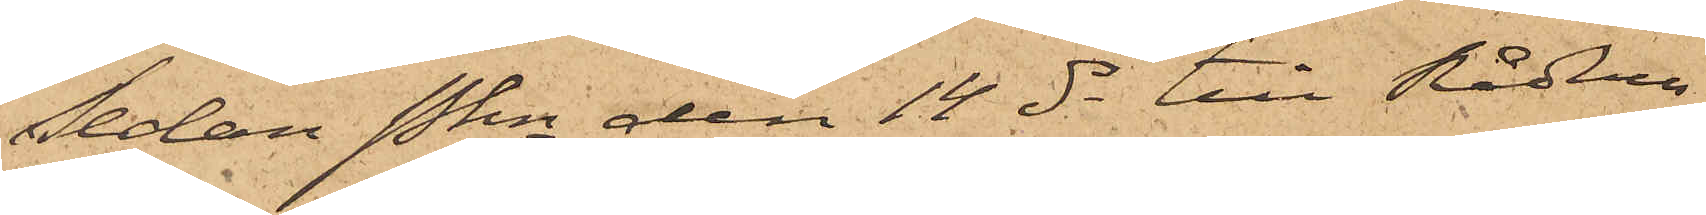Sedan Pkn den 14 ds till Rådhus¬
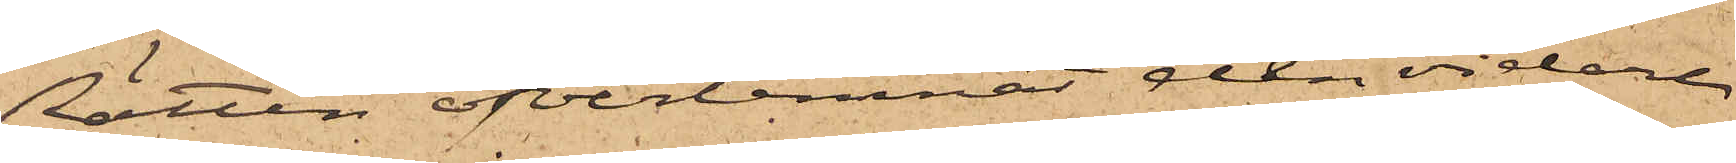Rätten öfverlemnat den vidare
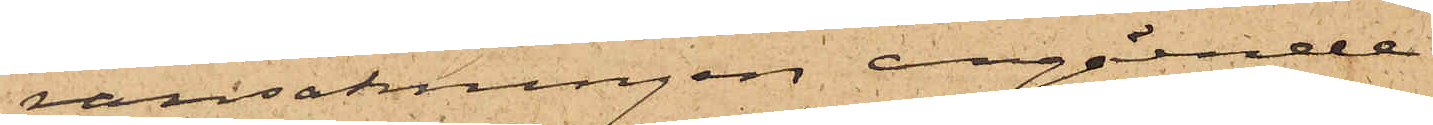ransakningen angående
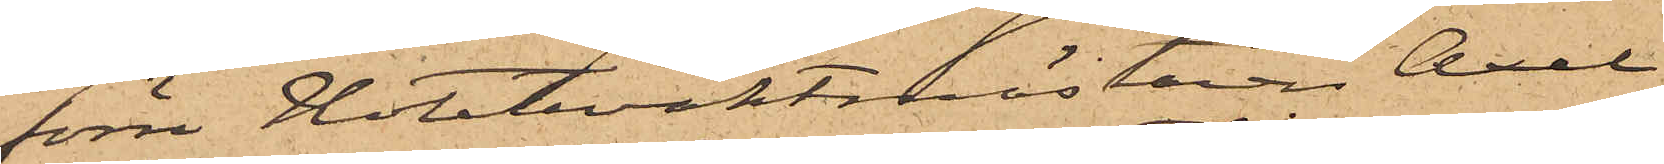förre Hotelvaktmästaren Axel
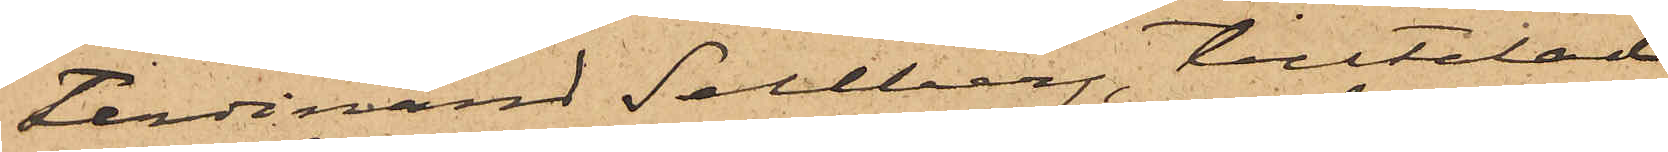Ferdinand Sahlberg, tilltalad
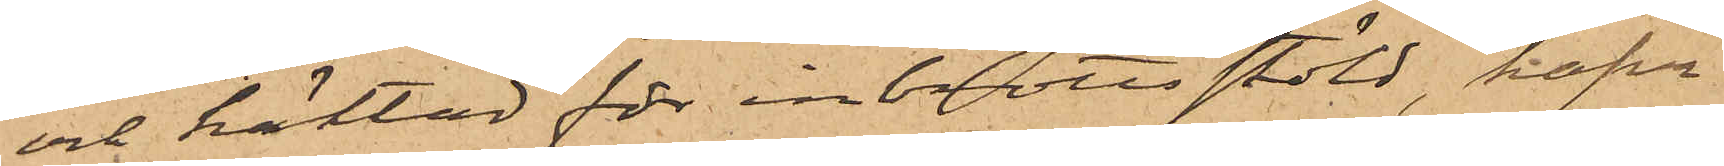och häktad för inbrottsstöld, hafva
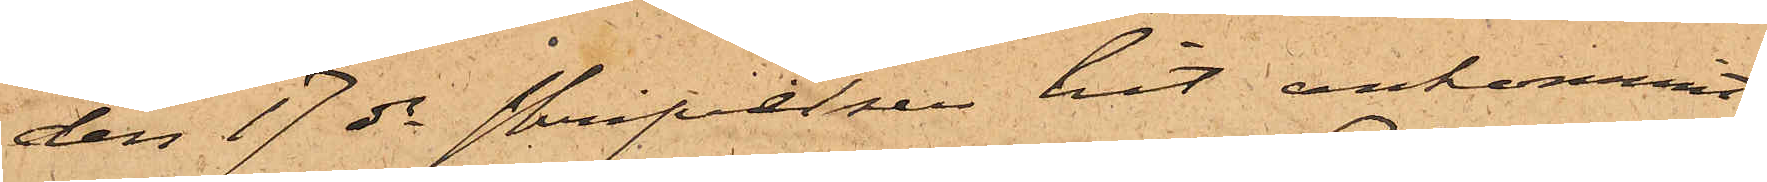den 17 ds skrifvelser hit ankommit
